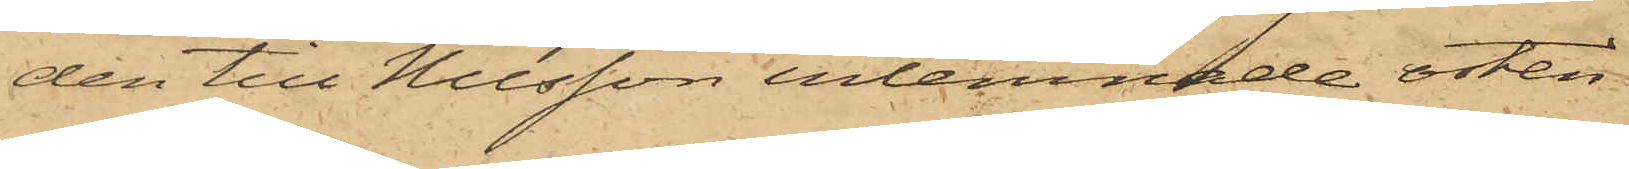den till Nilsson inlemnade osten
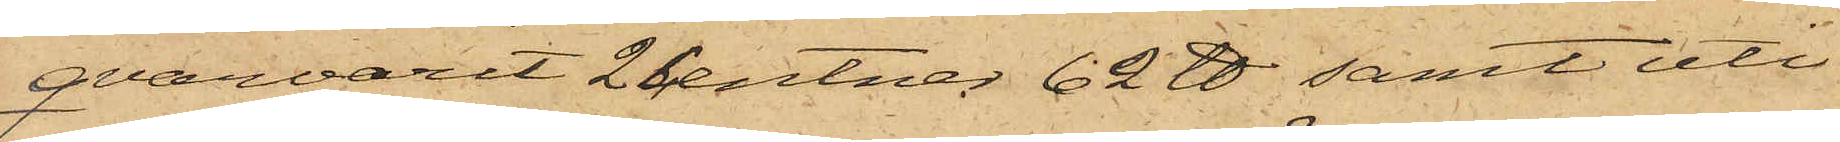qvarvarit 2 Centner 62 ℔ samt uti
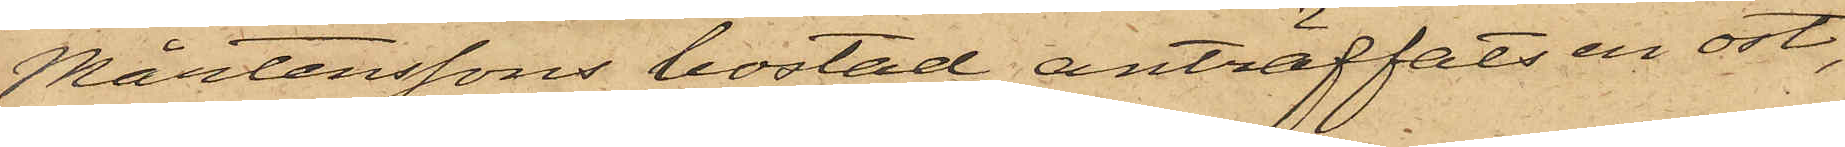Mårtenssons bostad anträffats en ost,
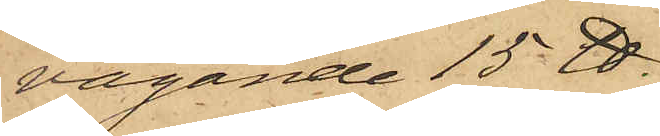vägande 15 ℔.
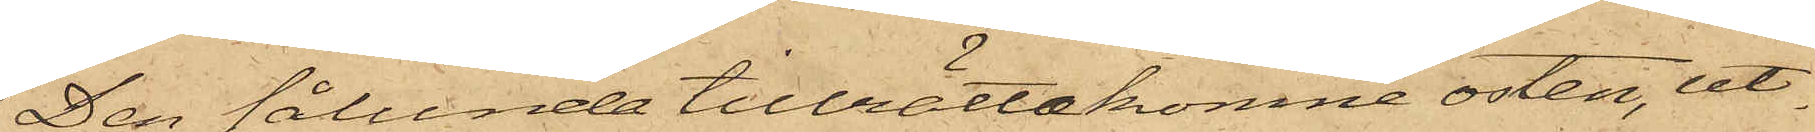Den sålunda tillrättakomne osten, ut¬
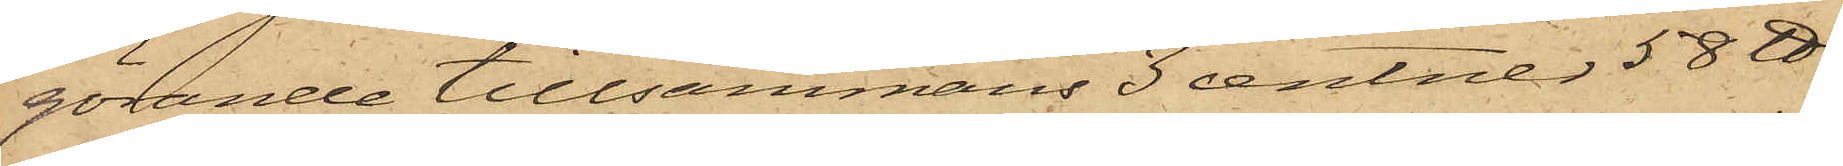görande tillsammans 3 Centner 58 ℔,
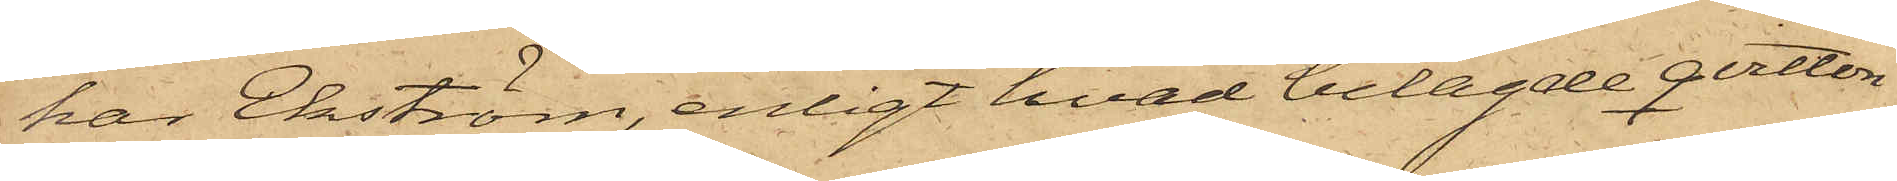har Ekström, enligt hvad belagde qvitton
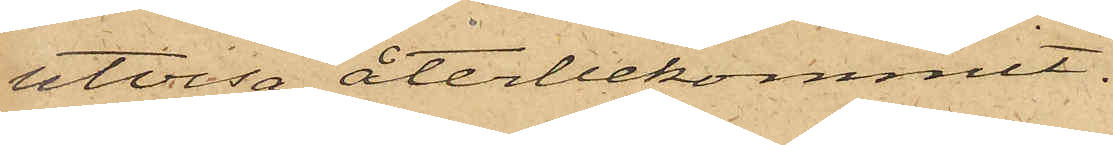utvisa, återbekommit.
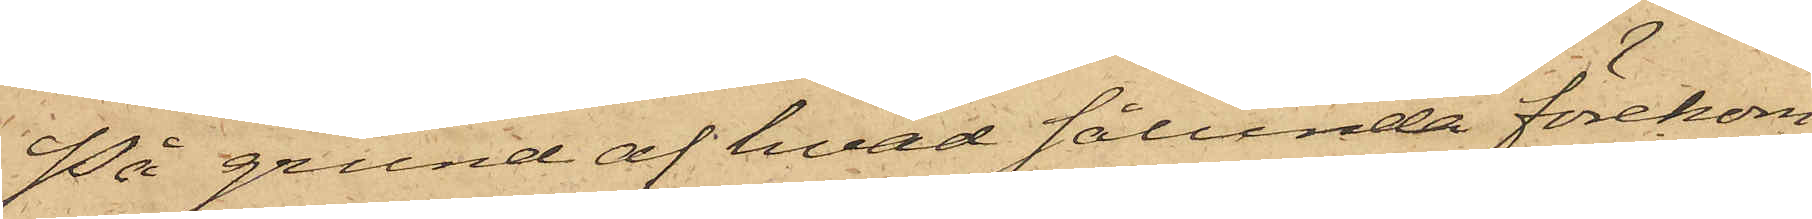På grund af hvad sålunda förekom¬
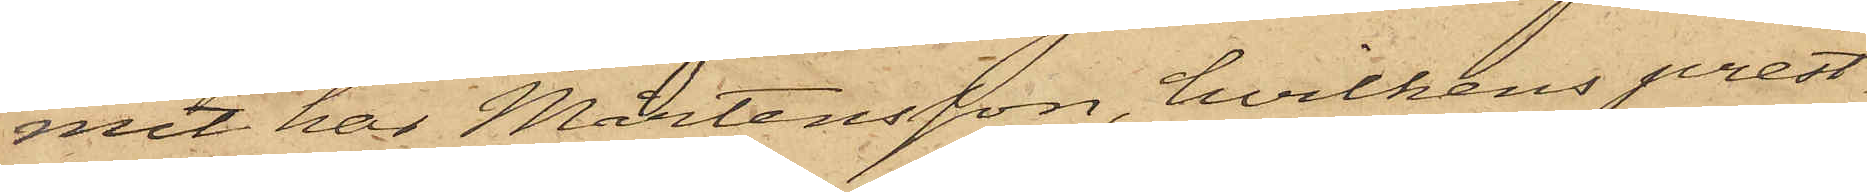mit har Mårtensson, hvilkens prest¬
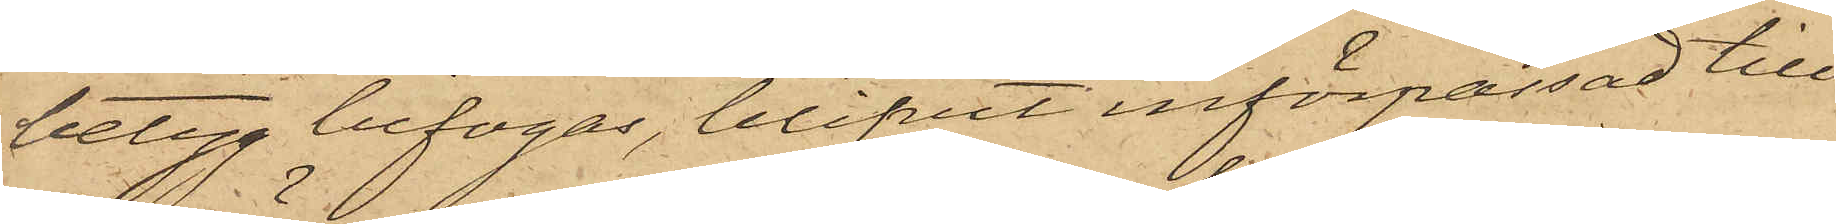betyg bifogas, blifvit införpassad till
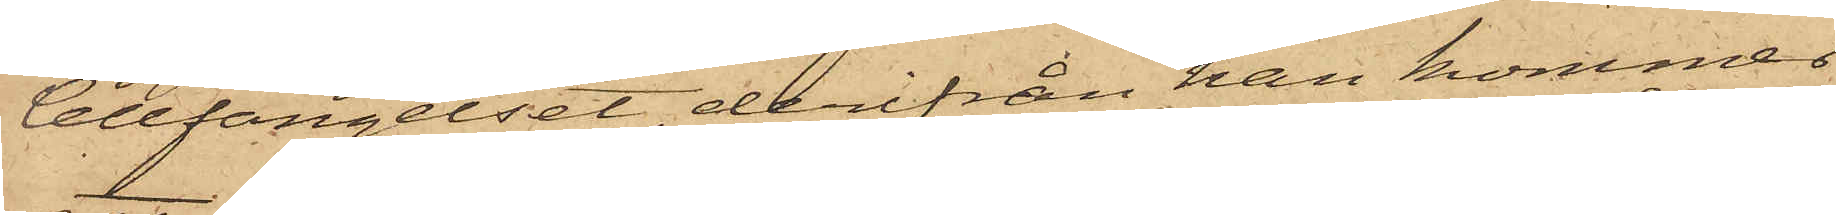Cellfängelset, derifrån han kommer
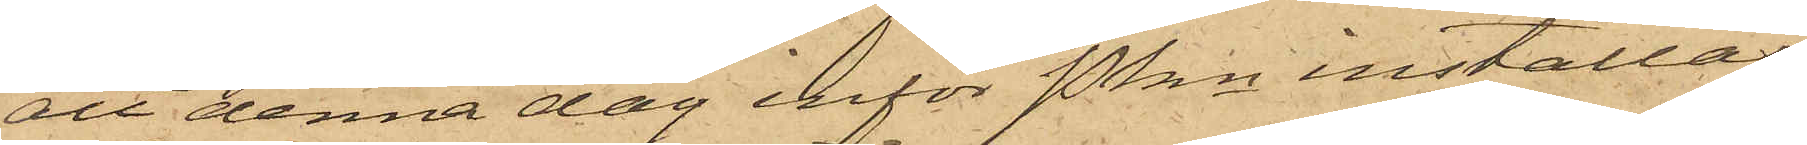att denna dag inför Pkn inställas.
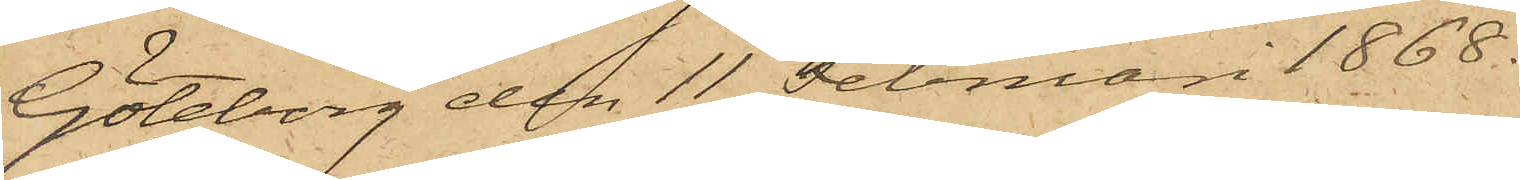Göteborg den 11 Februari 1868.
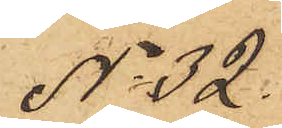No 32.
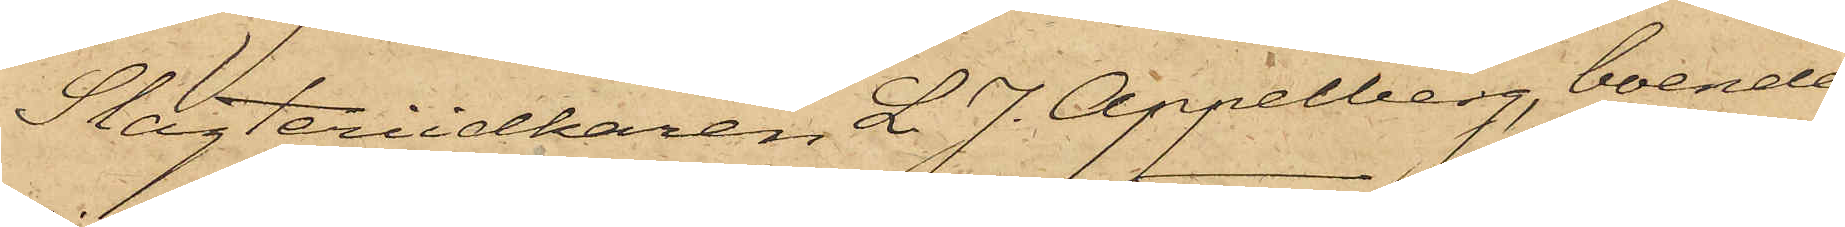Slagteriidkaren L. J. Appelberg, boende
